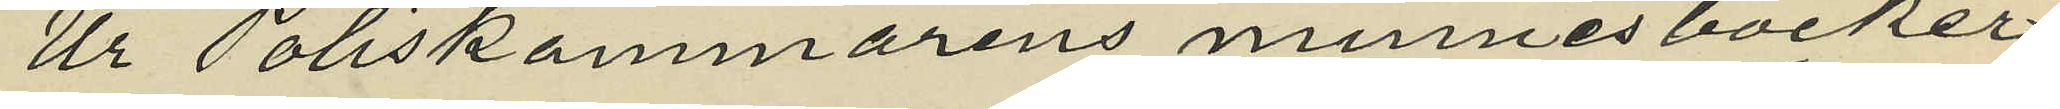Ur Poliskammarens minnesböcker
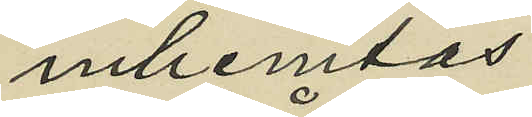inhemtas:
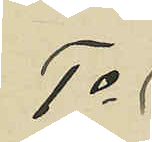1o
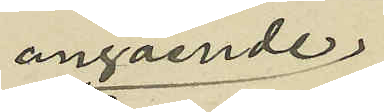angående;
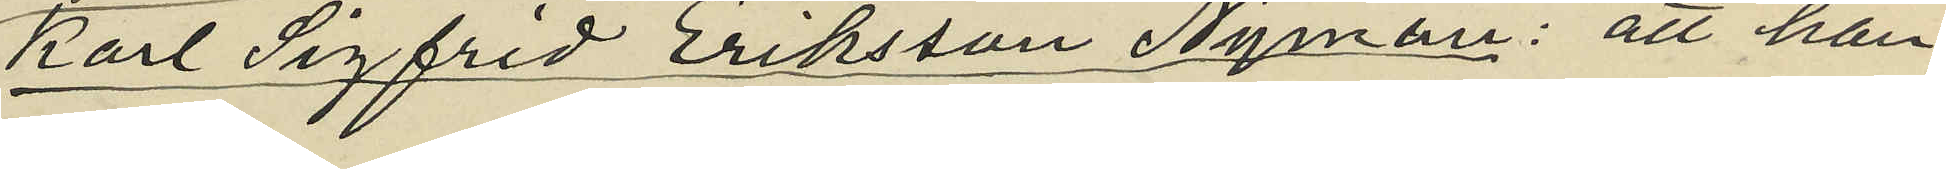Karl Sigfrid Eriksson Nyman: att han
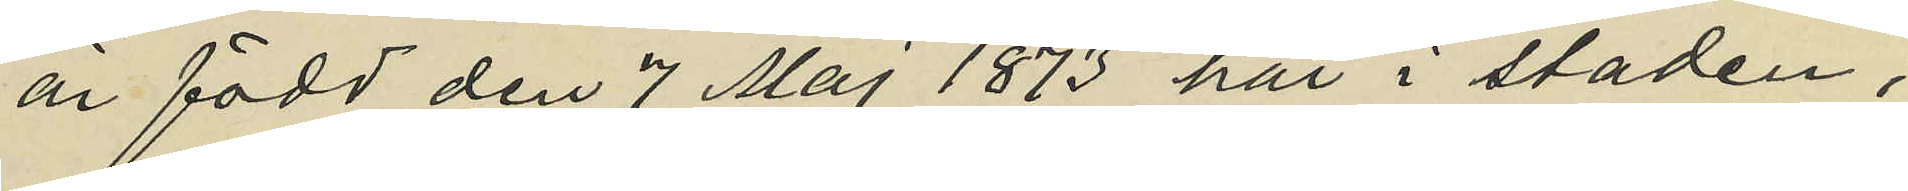är född den 7 Maj 1873 här i staden,
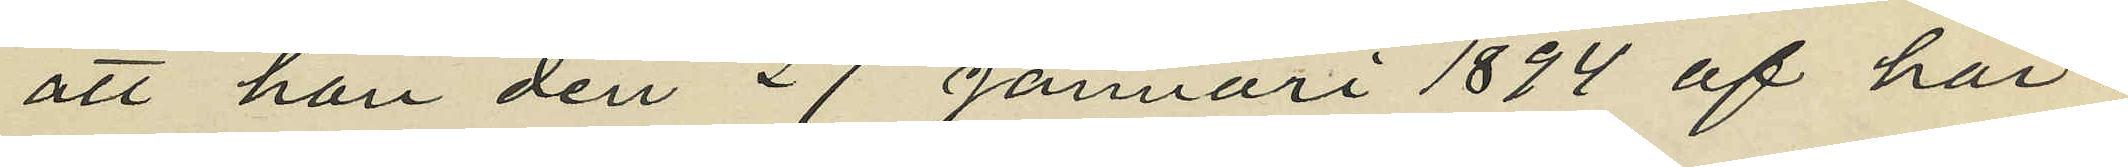att han den 27 Januari 1894 af här¬
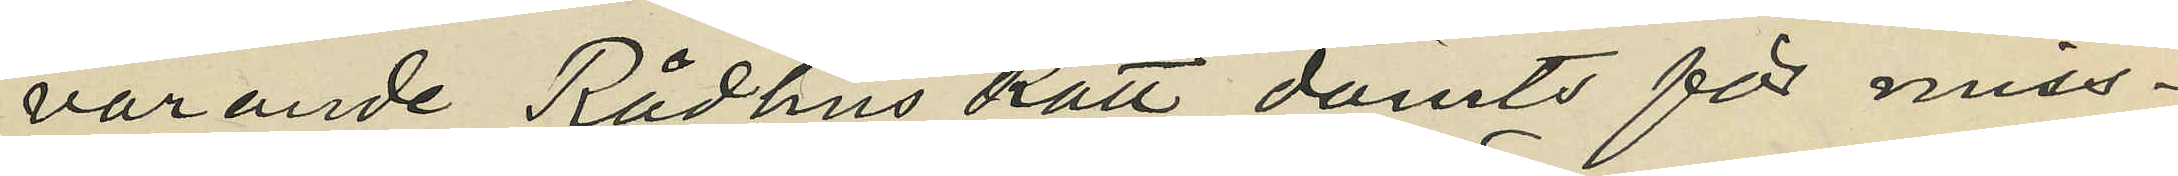varande Rådhus Rätt dömts för miss¬
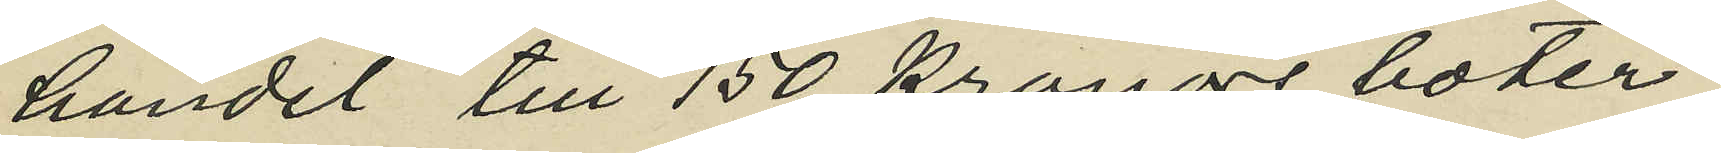handel till 150 kronors böter
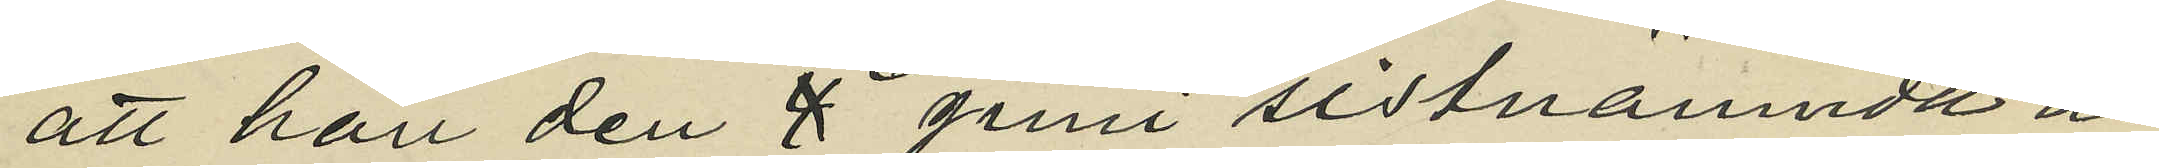att han den 8 Juni sistnämnde år
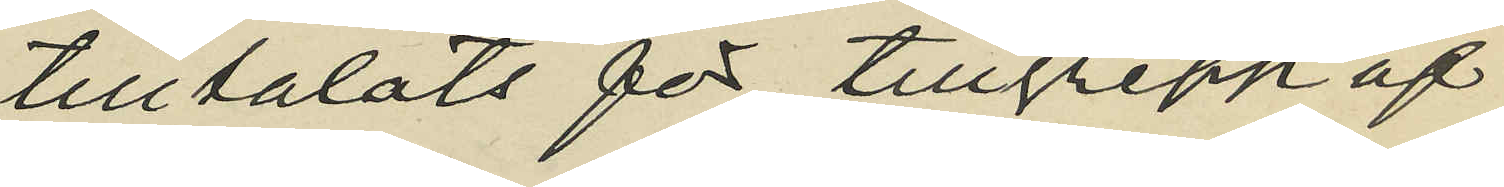tilltalats för tillgrepp af
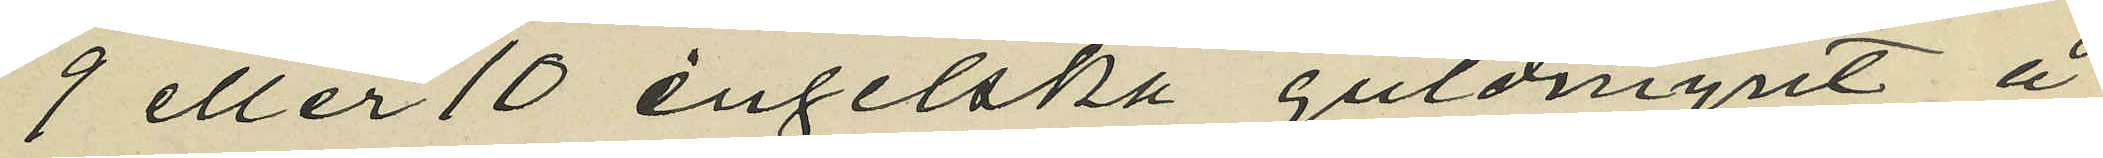9 eller 10 engelska guldmynt å
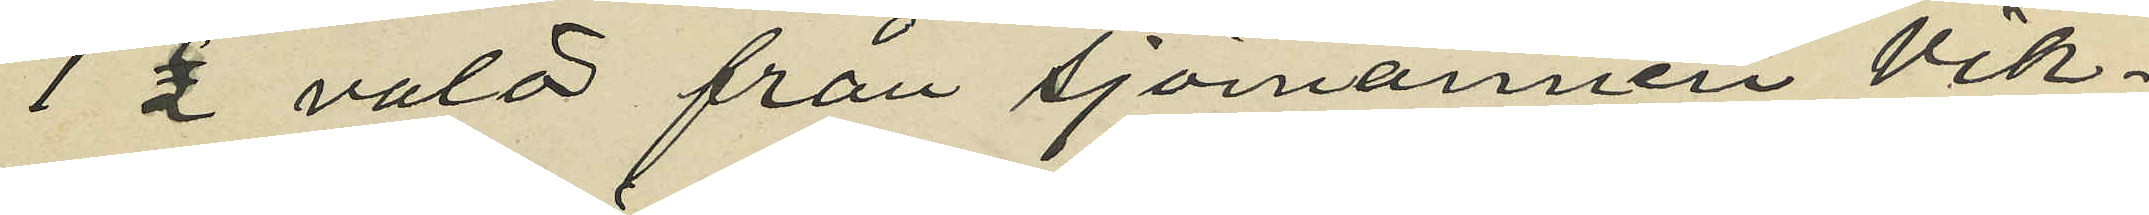1 £ valör från sjömannen Vik¬
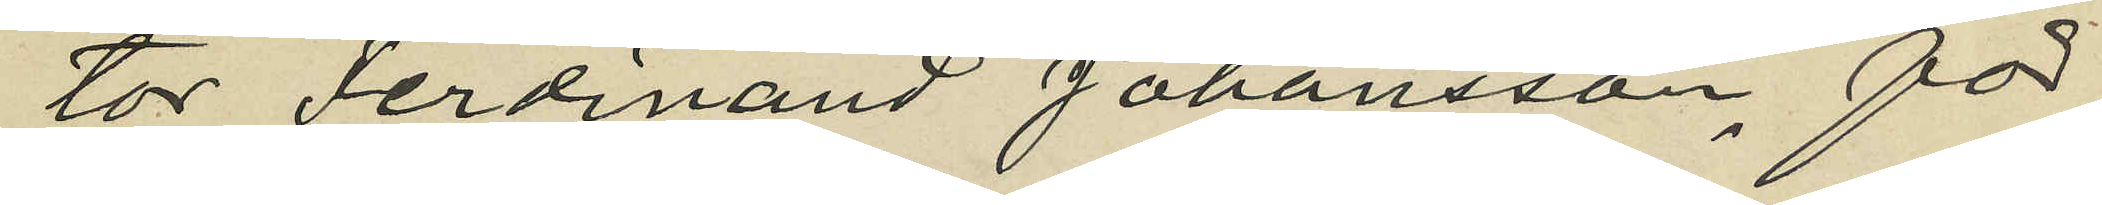tor Ferdinand Johansson, för
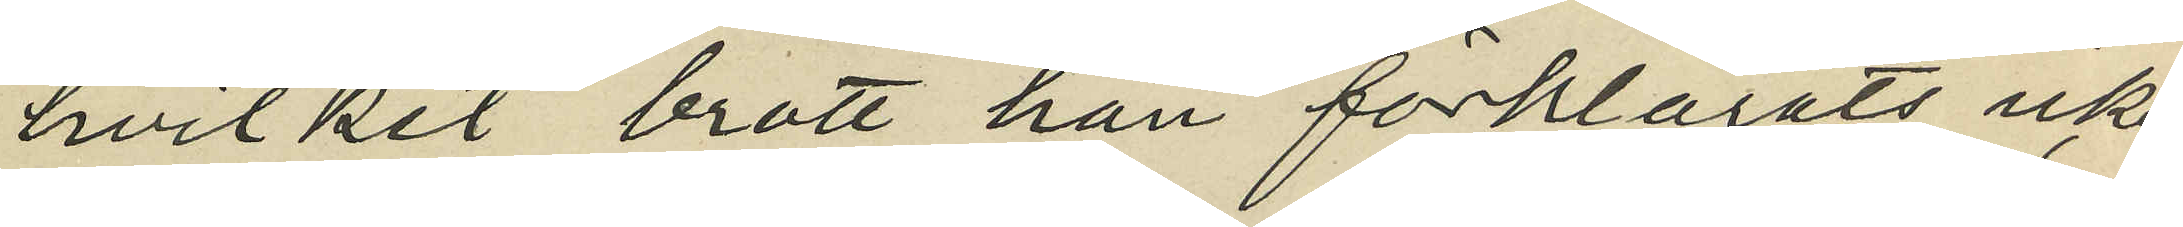hvilket brott han förklarats icke
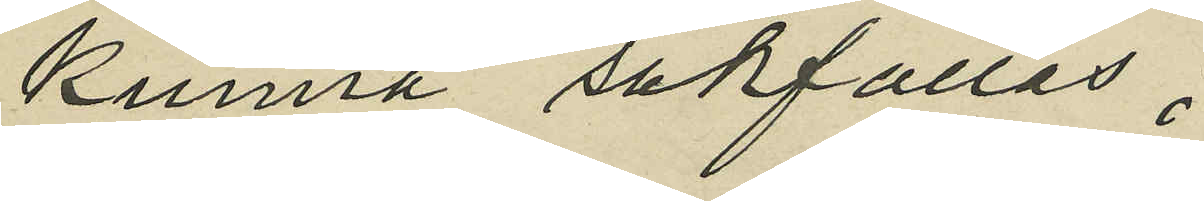kunna sakfällas.
